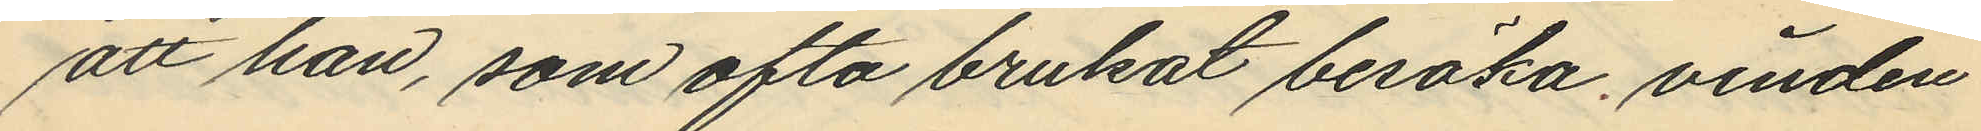att han, som ofta brukat besöka vinden
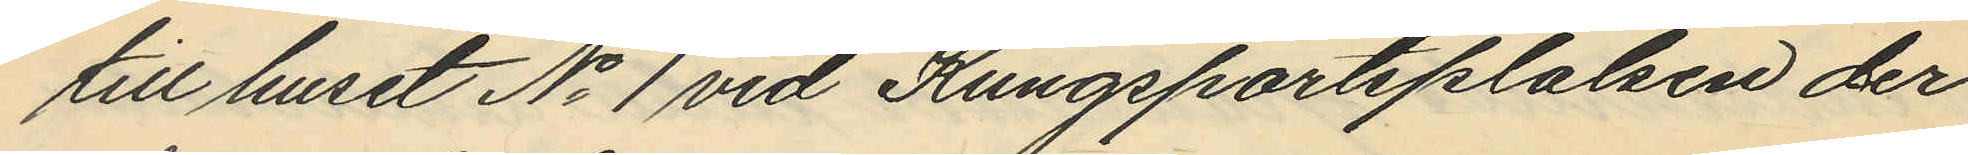till huset No 1 vid Kungsportsplalsen der
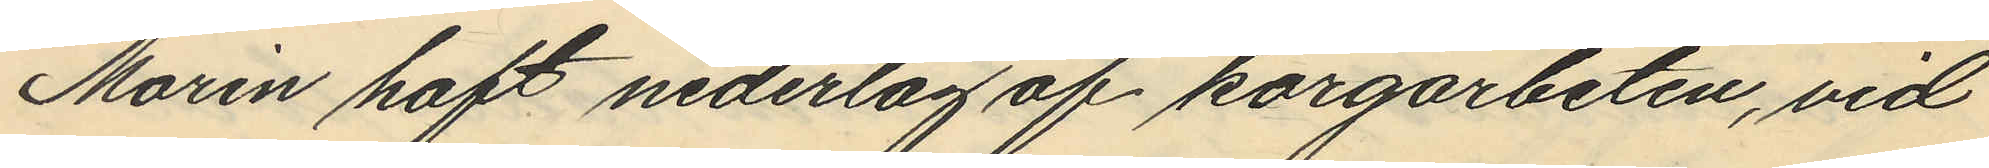Morin haft nederlag af korgarbeten, vid
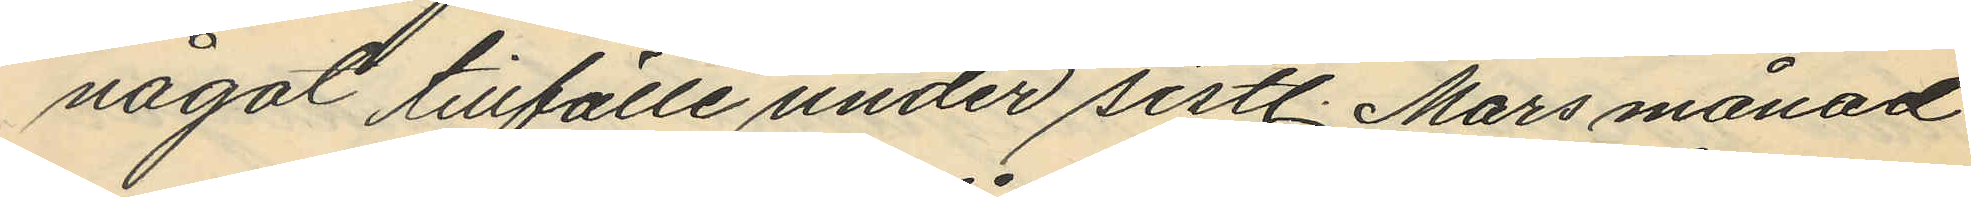något tillfälle under sistl. Mars månad
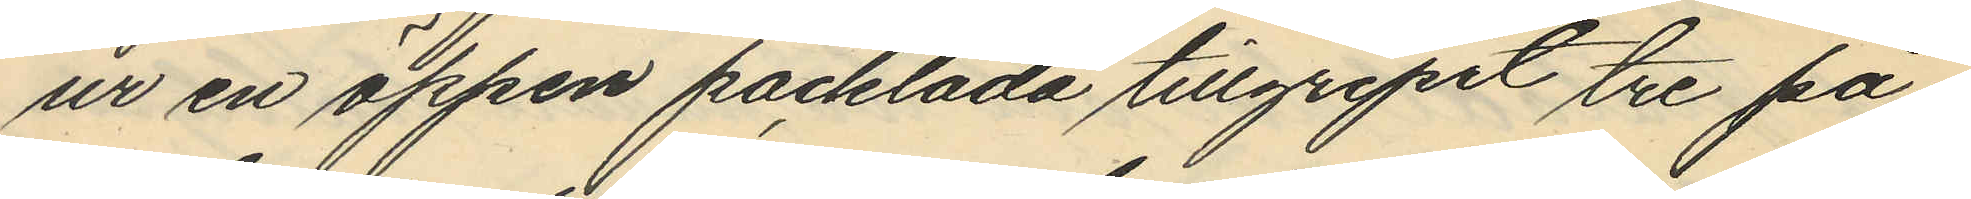ur en öppen packlåda tillgripit tre på¬
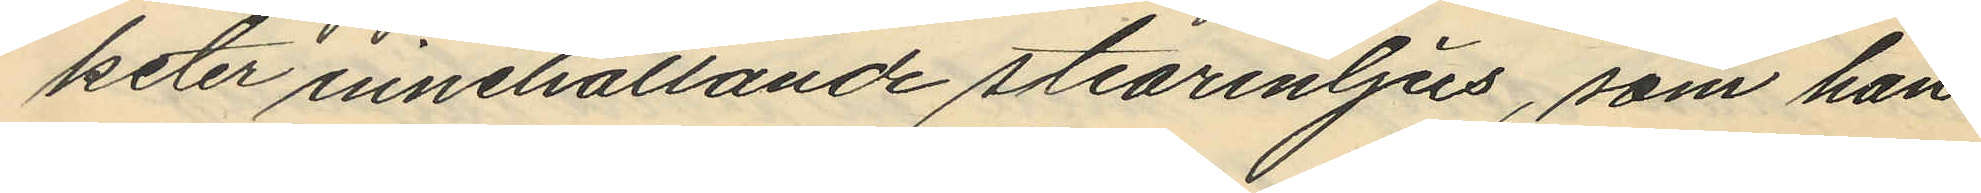keter innehållande stearinljus, som han
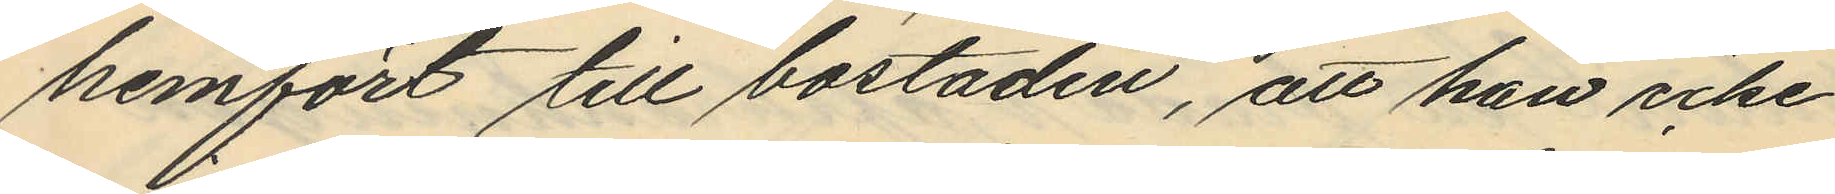hemfört till bostaden, att han icke
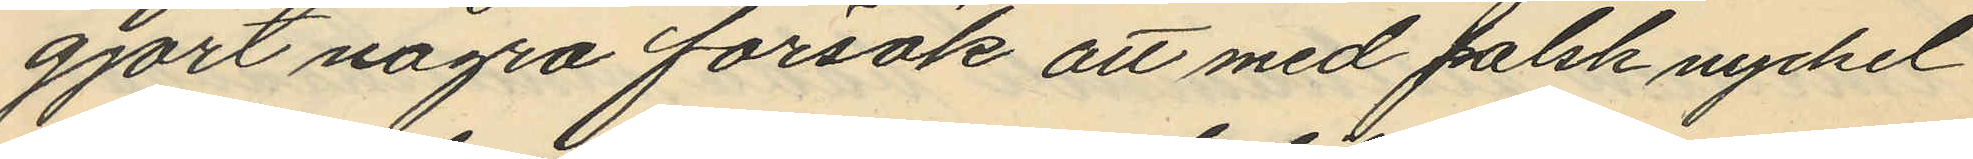gjort några försök att med falsk nyckel
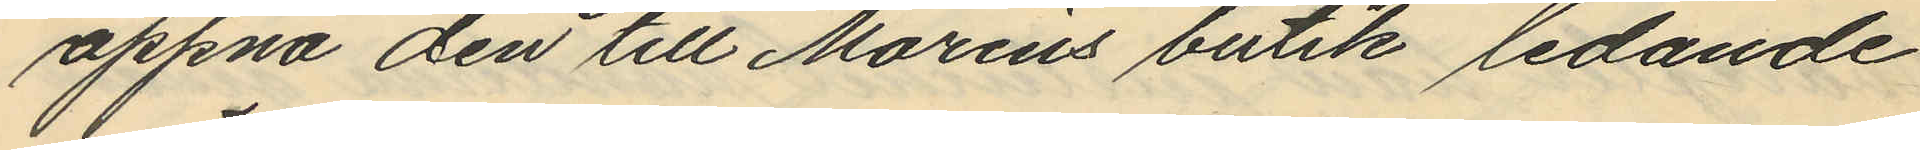öppna den till Morins butik ledande
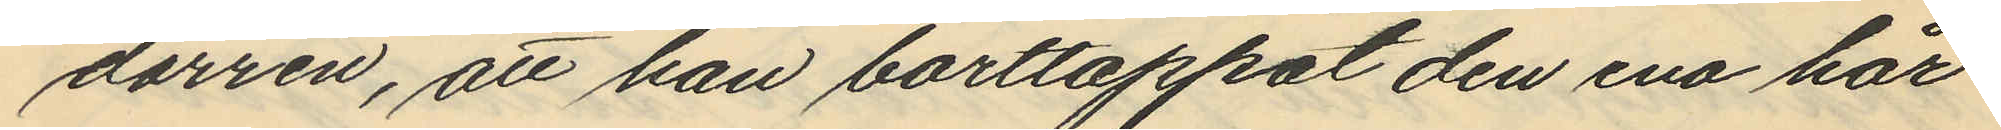dörren, att han borttappat den ena hår¬
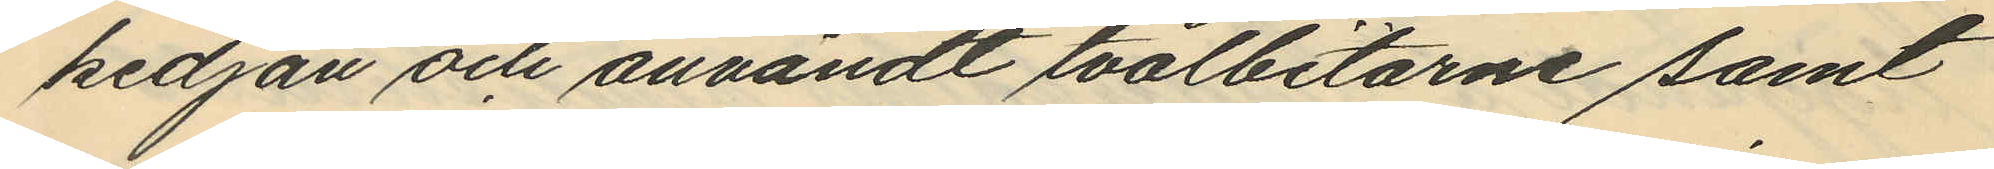kedjan och användt tvålbitarne samt
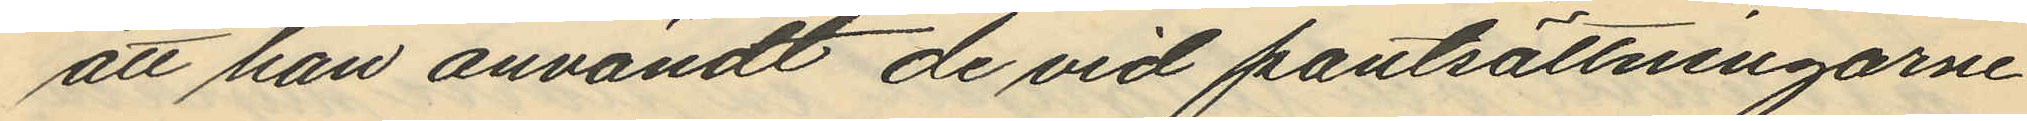att han användt de vid pantsättningarne
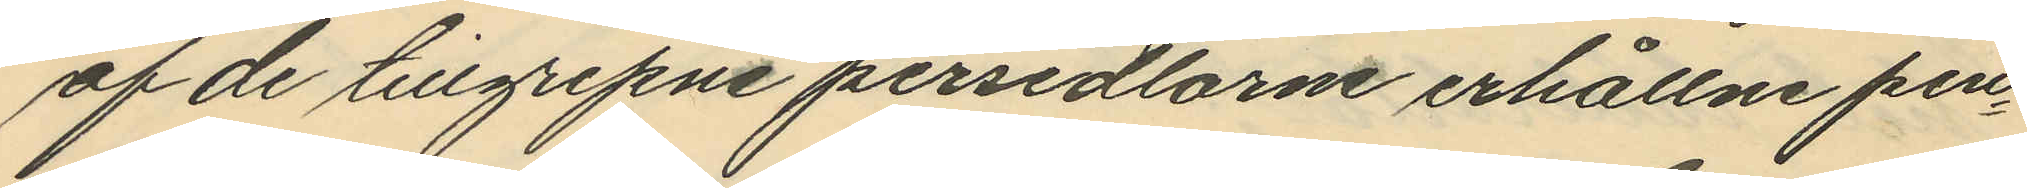af de tillgripne persedlarne erhållne pen¬
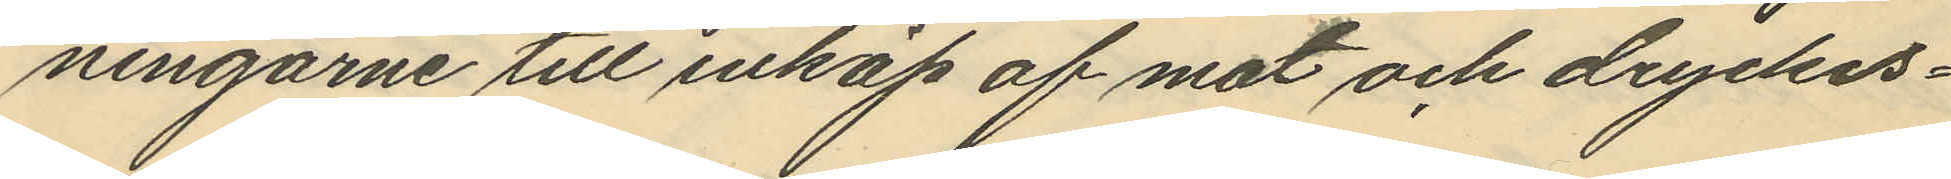ningarne till inköp af mat och dryckes¬
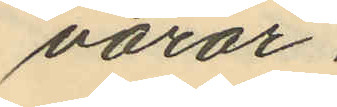varor.
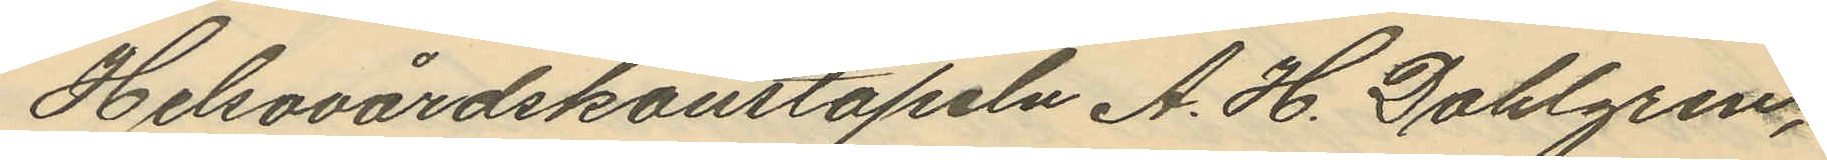Helsovårdskonstapeln A. H. Dahlgren,
